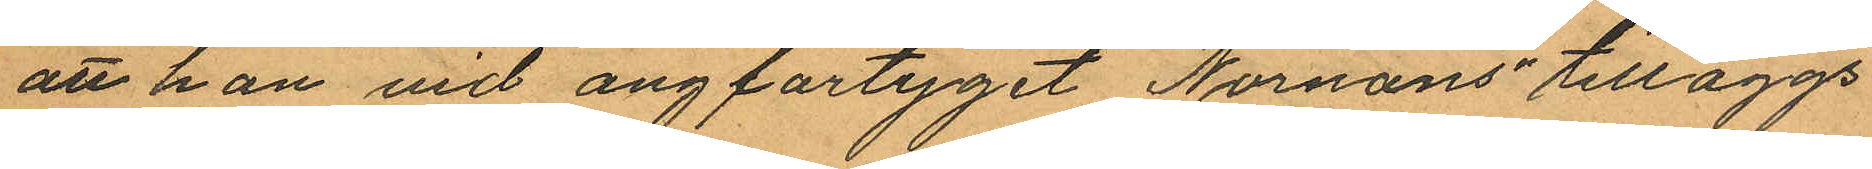att han vid ångfartyget "Nornans" tilläggs
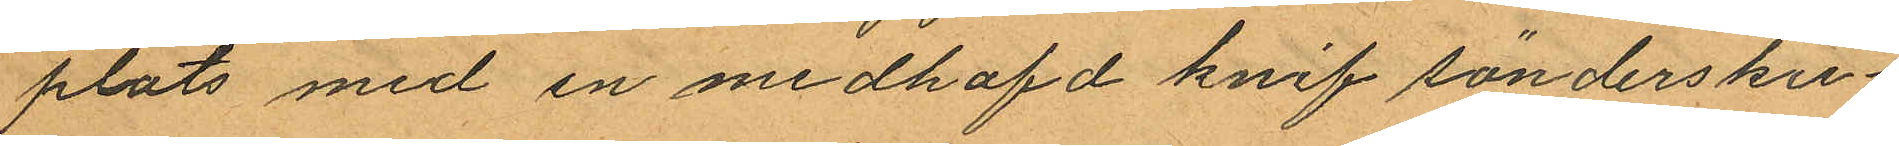plats med en medhafd knif söndersku¬
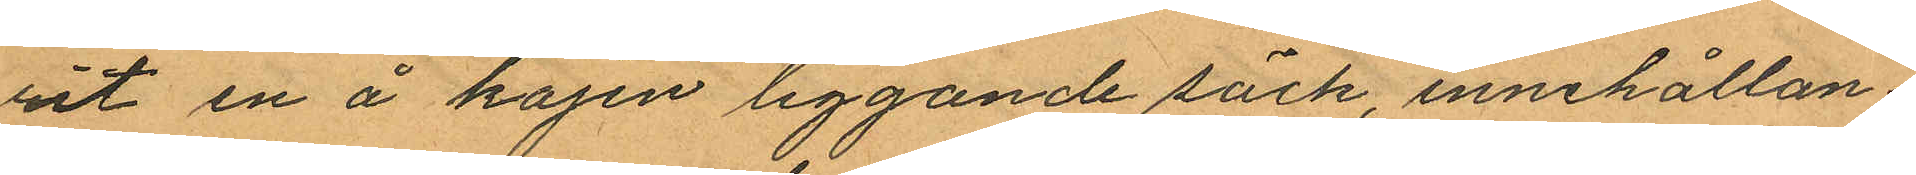rit en å kajen liggande säck, innehållan¬
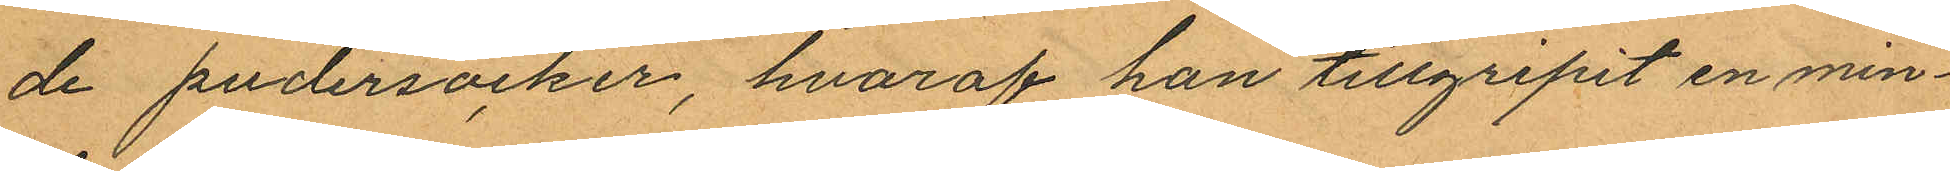de pudersocker, hvaraf han tillgripit en min¬
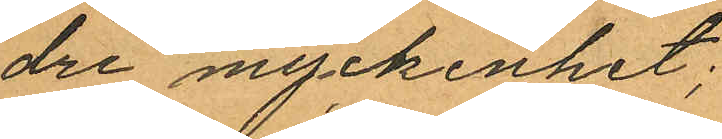dre myckenhet;
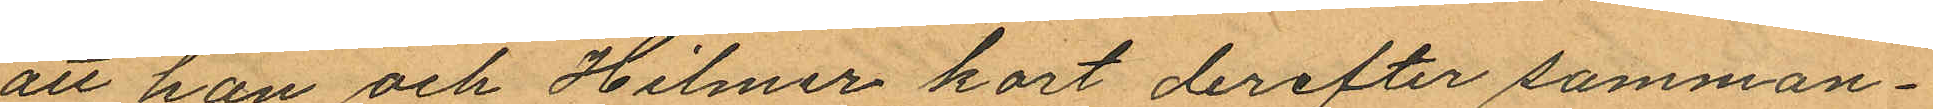att han och Hilmer kort derefter samman¬
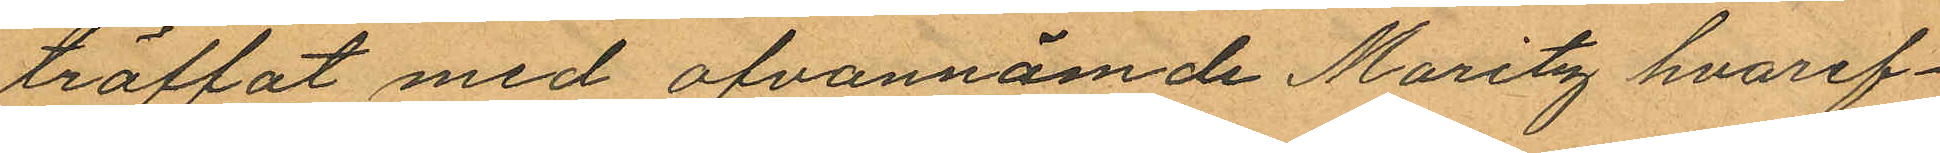träffat med ofvannämde Moritz hvaref¬
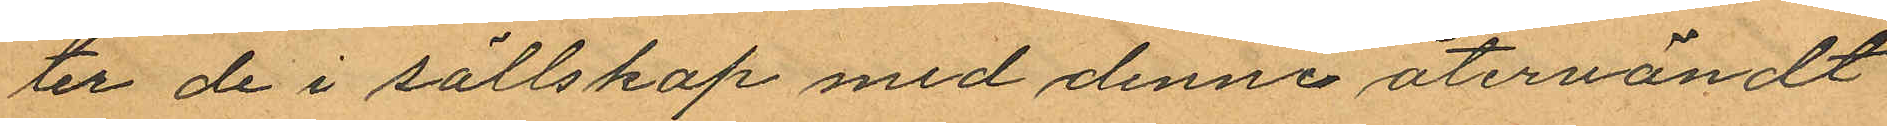ter de i sällskap med denne återvändt
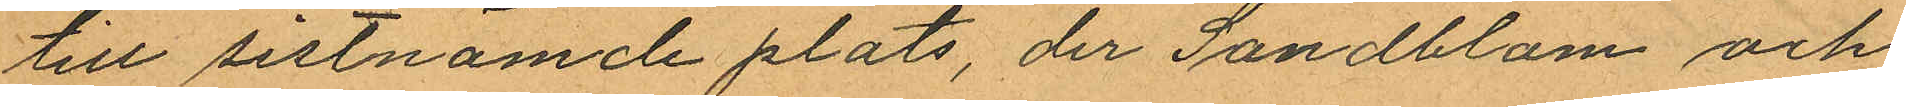till sistnämde plats, der Sandblom och
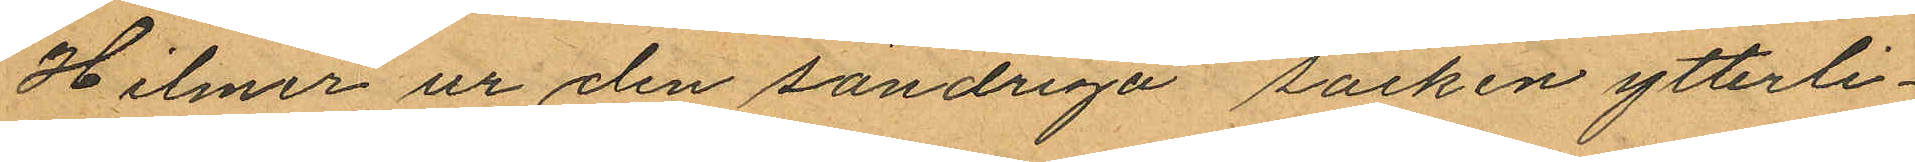Hilmer ur den söndriga säcken ytterli¬
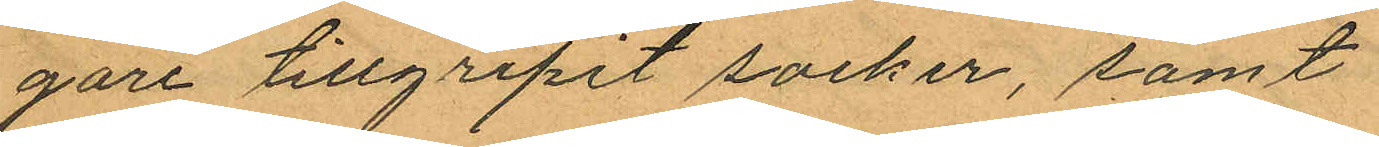gare tillgripit socker, samt
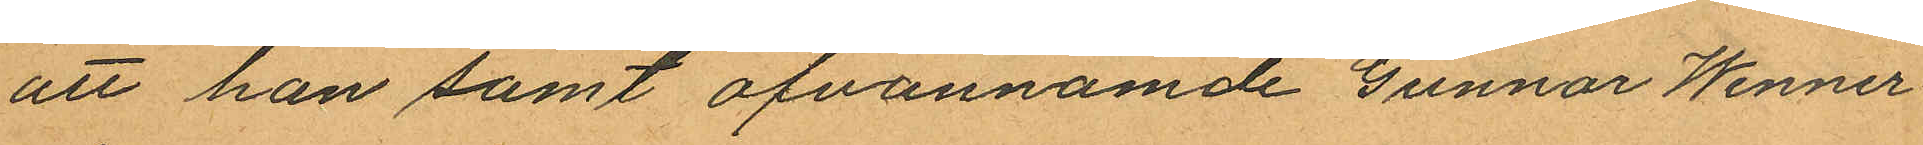att han samt ofvannämde Gunnar Wenner¬
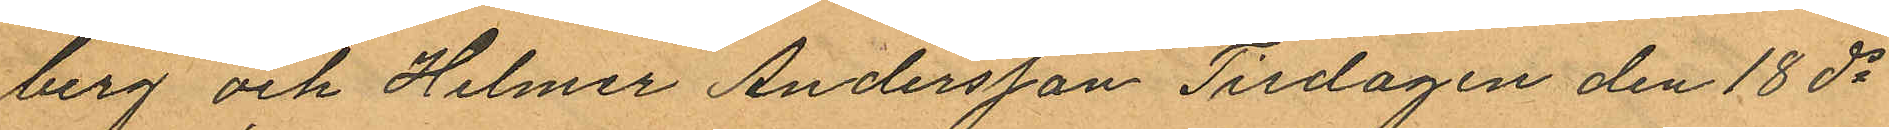berg och Helmer Andersson Tisdagen den 18 ds
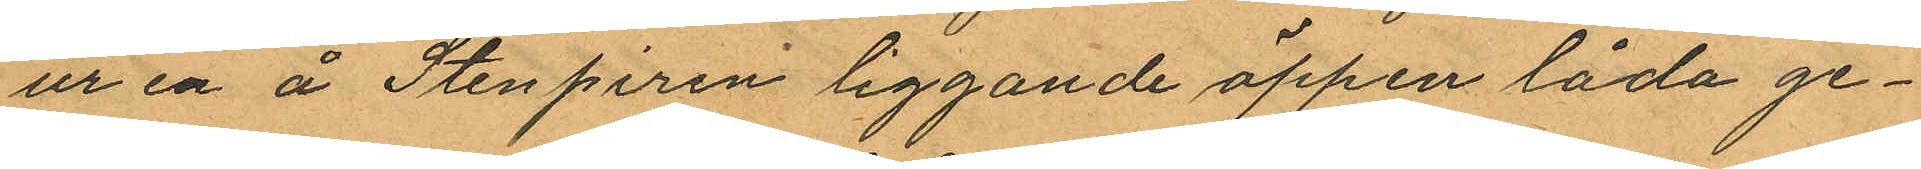ur en å Stenpiren liggande öppen låda ge¬
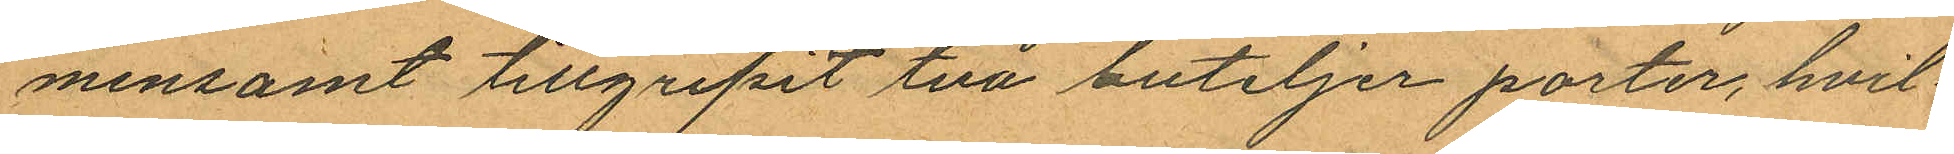mensamt tillgripit två buteljer porter, hvil¬
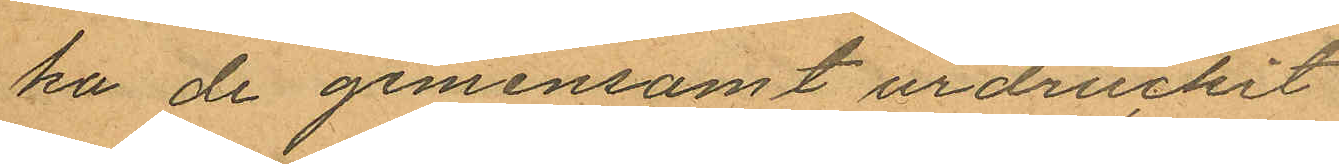ka de gemensamt urdruckit
